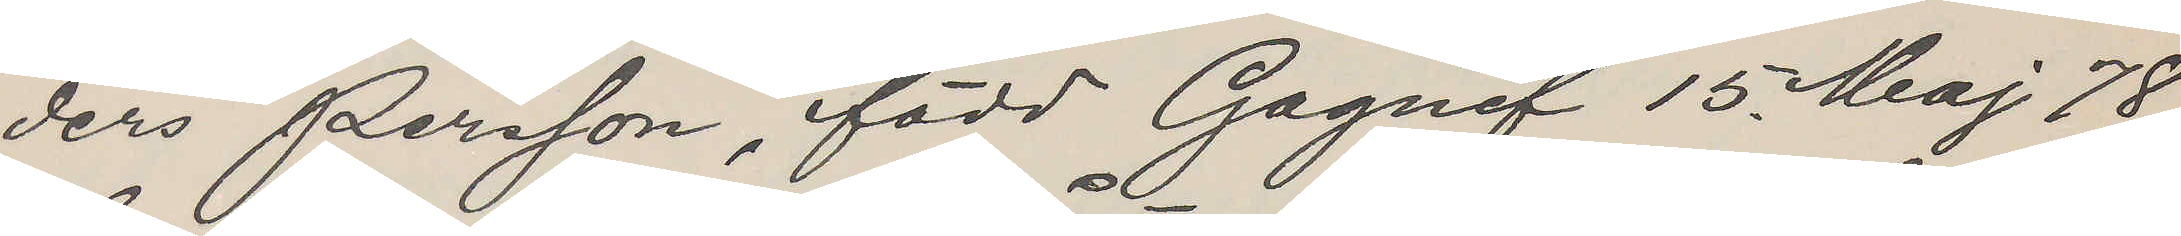ders Persson, född Gagnef 15 Maj 78,
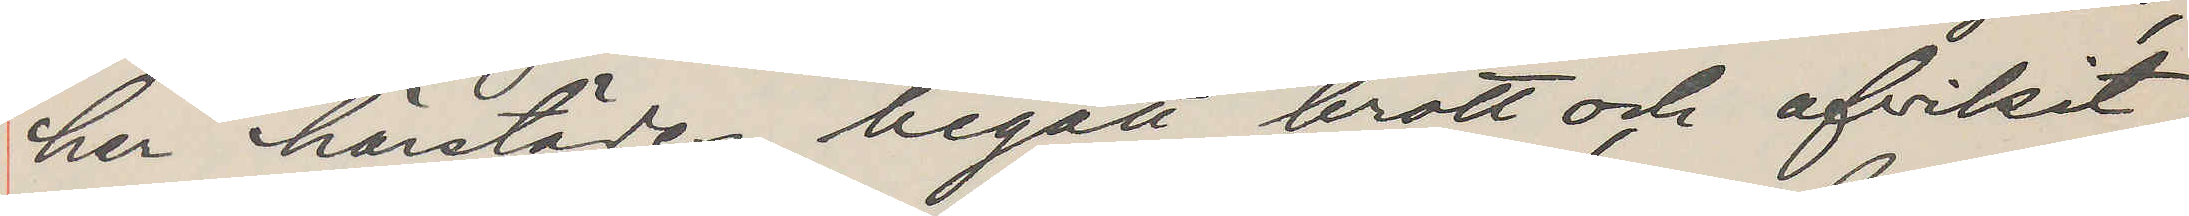har härstädes begått brott och afvikit,
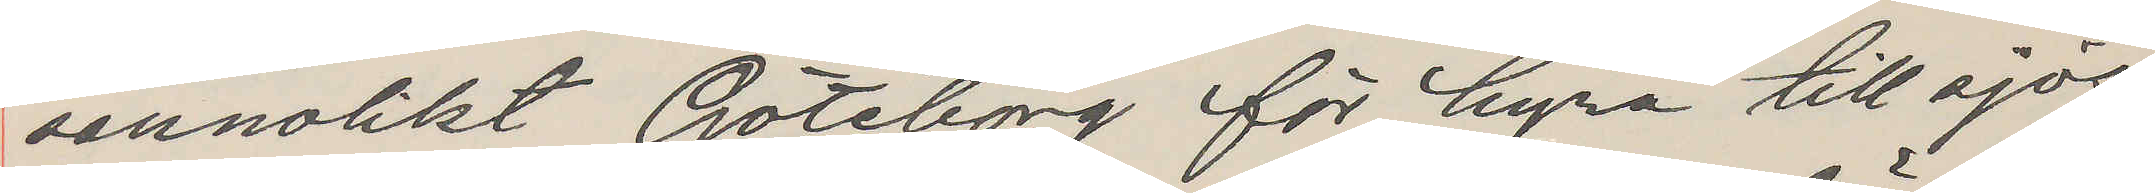sannolikt Göteborg för hyra till sjös,
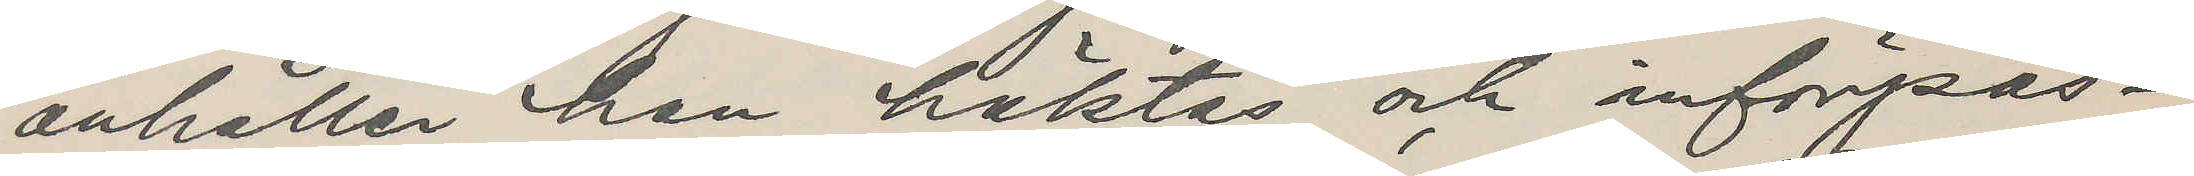anhåller han häktas och införpas¬
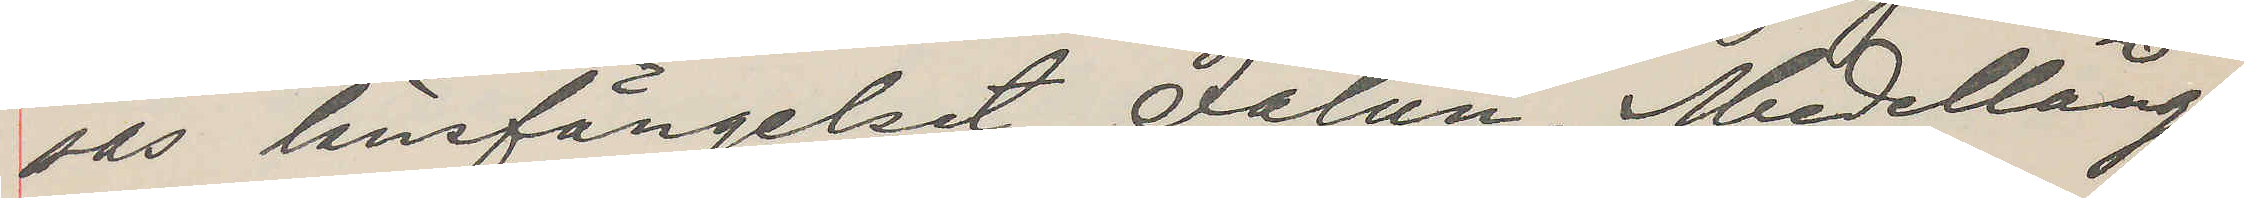sas länsfängelset Falun. Medellång,
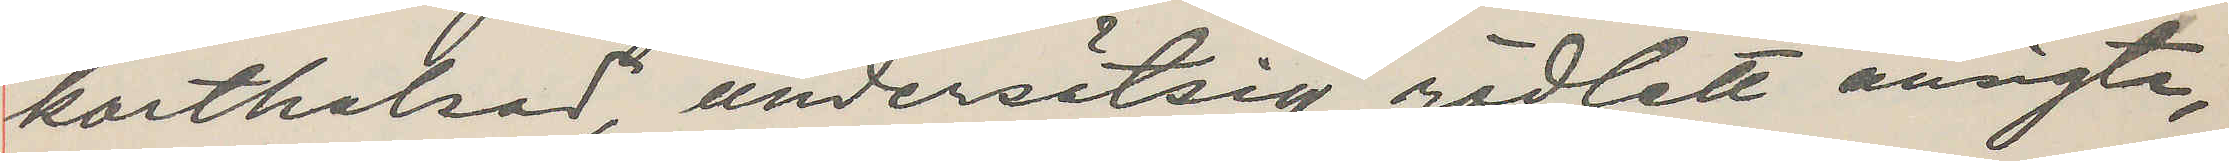korthalsad, undersätsig, rödlett ansigte,
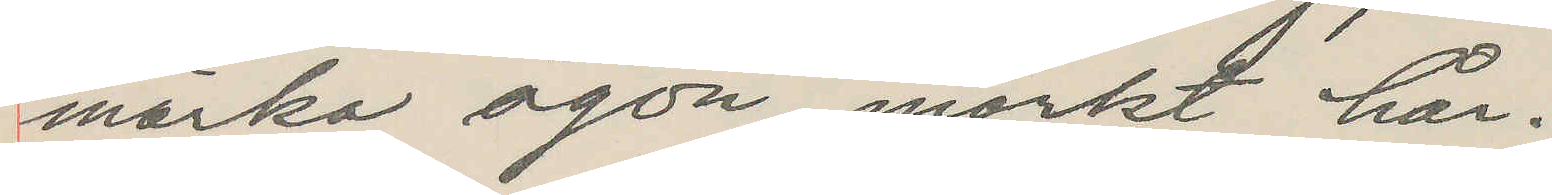mörka ögon, mörkt hår.
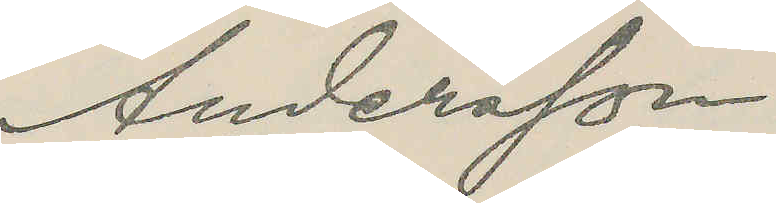Andersson
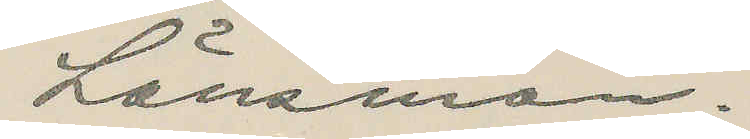Länsman.
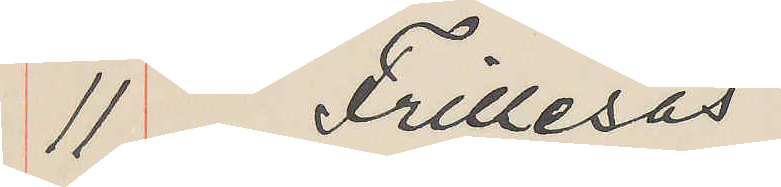11 Frillesås
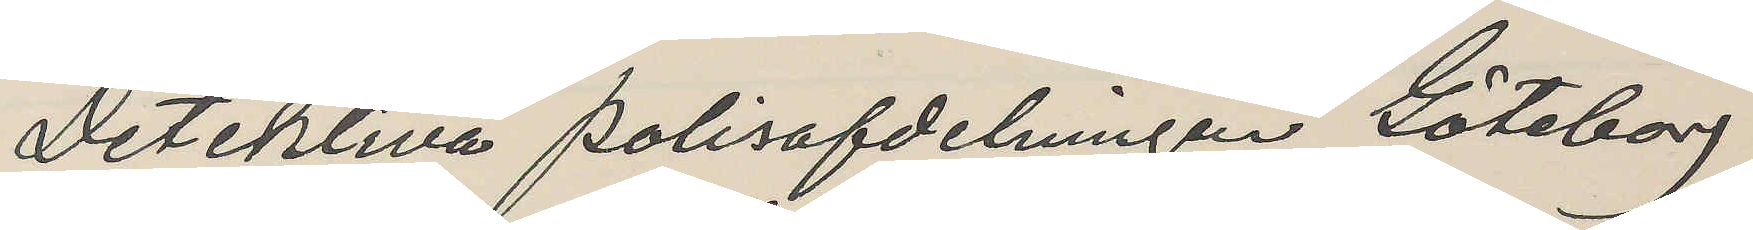Detektiva polisafdelningen Göteborg
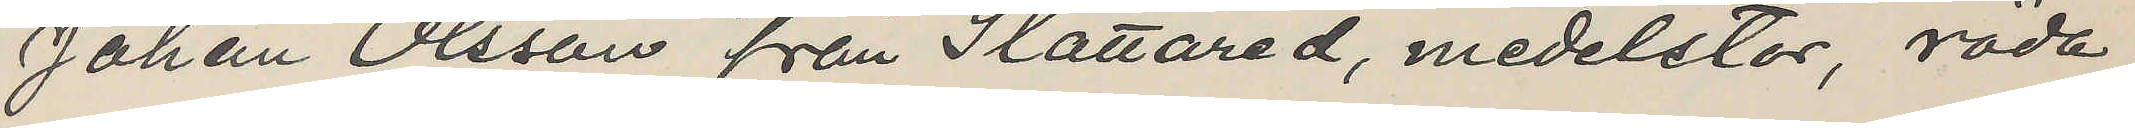Johan Olsson från Slättared, medelstor, röda
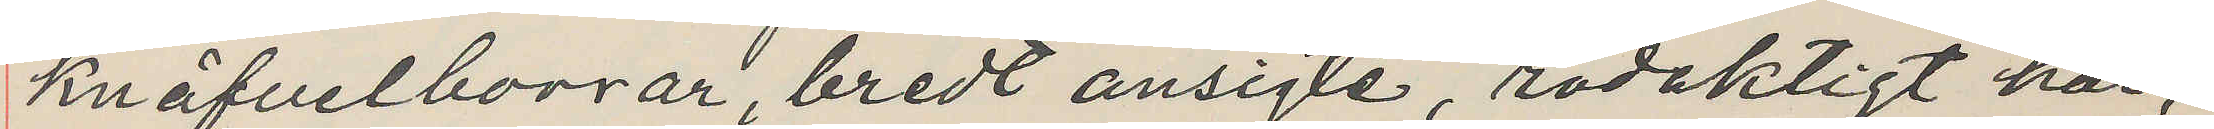knäfvelborrar, bredt ansigte, rödaktigt hår,
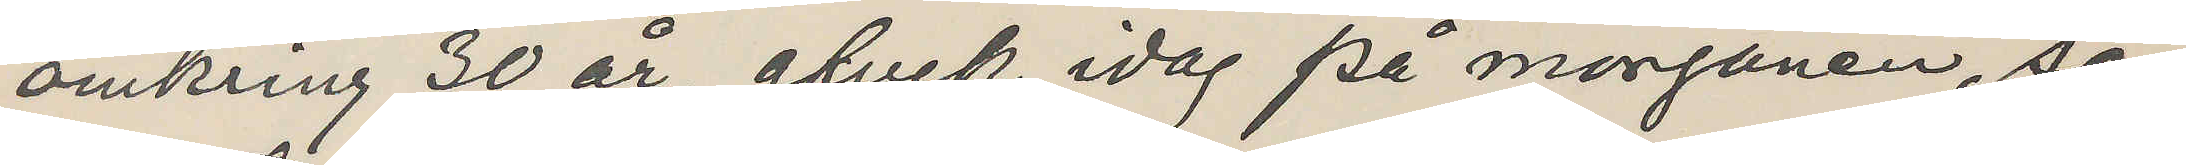omkring 30 år, afvek idag på morgonen, sö¬
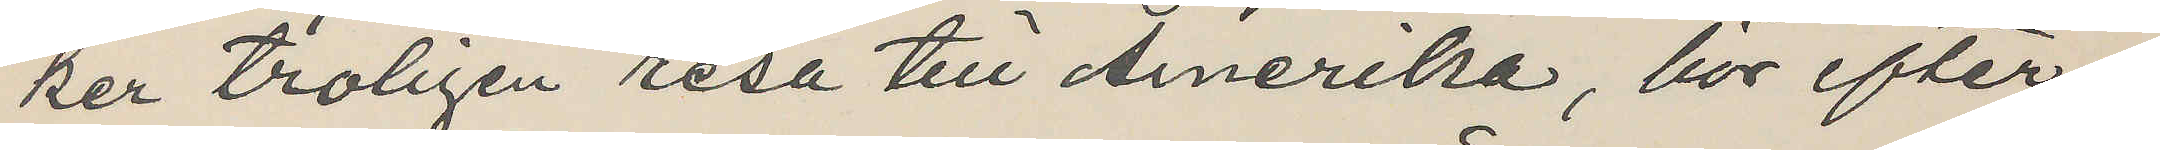ker troligen resa till Amerika, bör efter¬
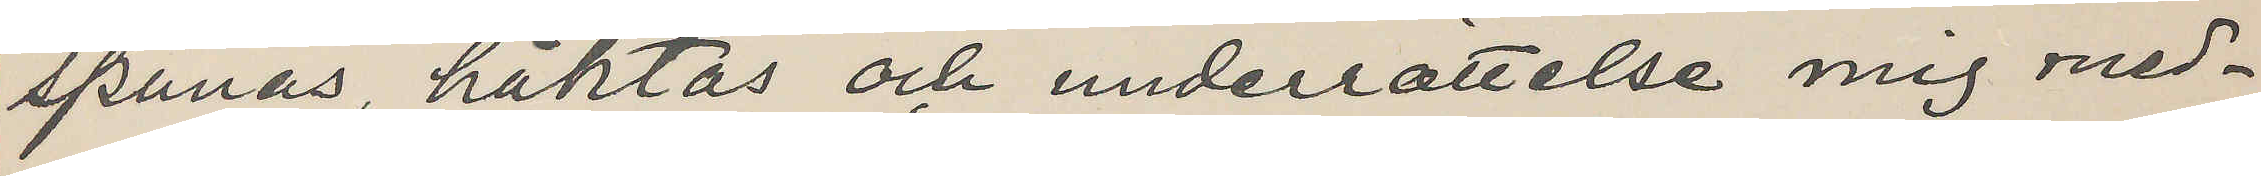spanas, häktas och underrättelse mig med¬
